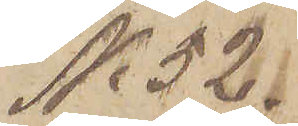No 52.
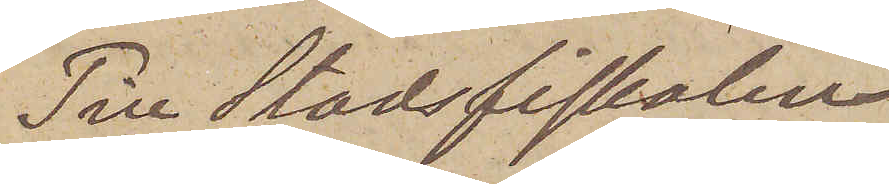Till Stadsfiskalen
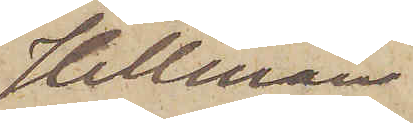Hellman
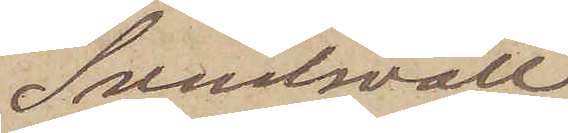Sundsvall
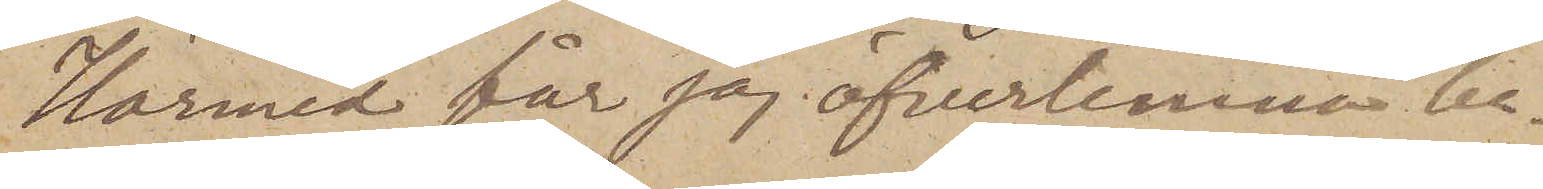Härmed får jag öfverlemna be¬
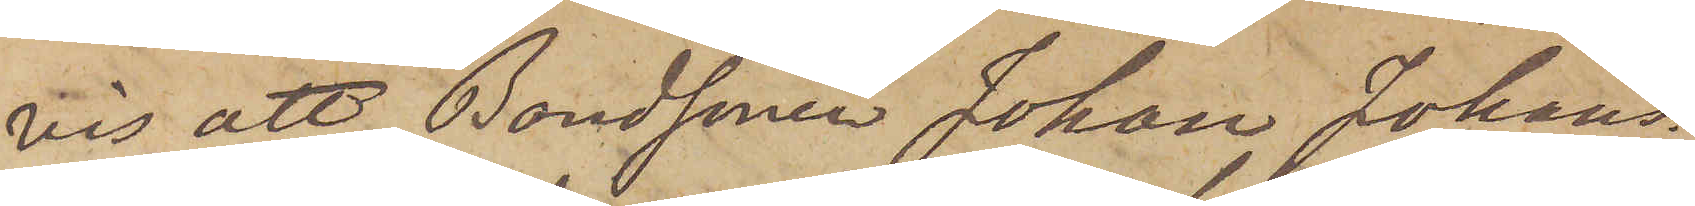vis, att Bondsonen Johan Johans¬
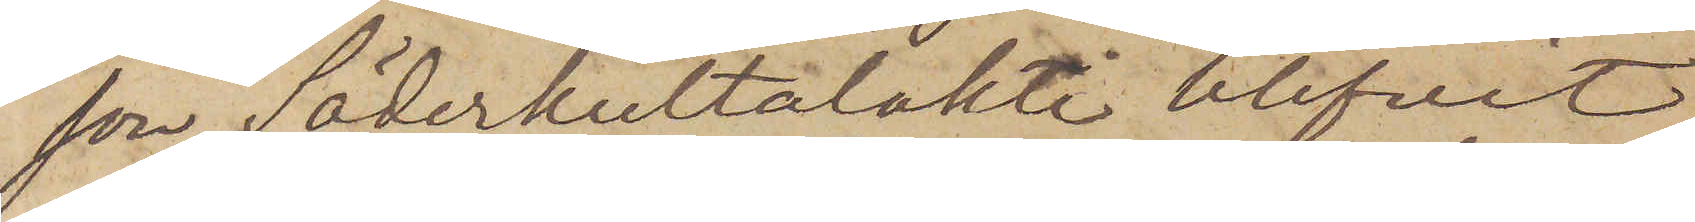son Söderhultalakti blifvit
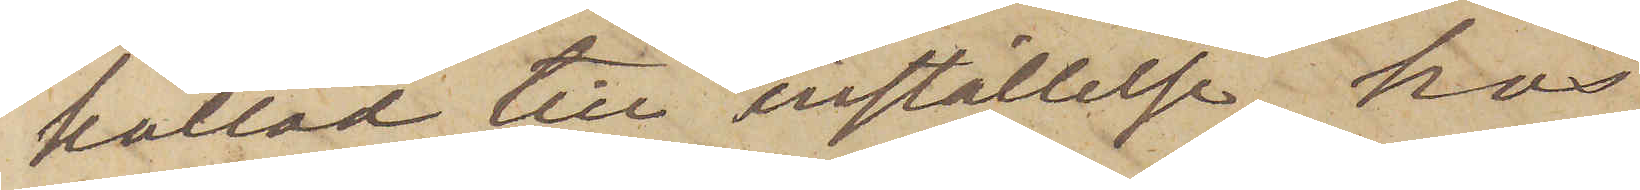kallad till inställelse hos
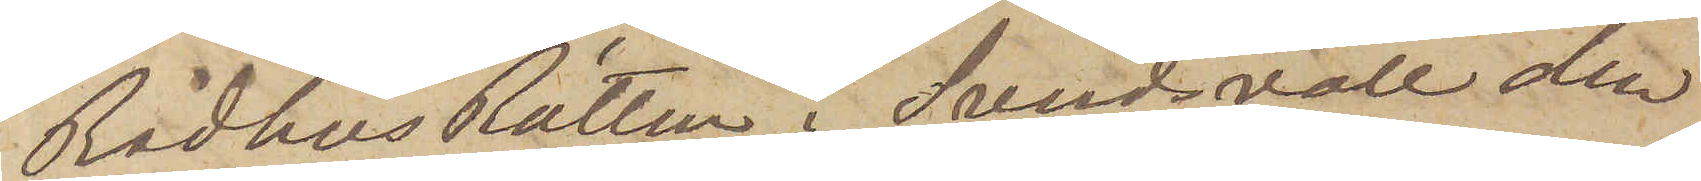Rådhus Rätten i Sundsvall den
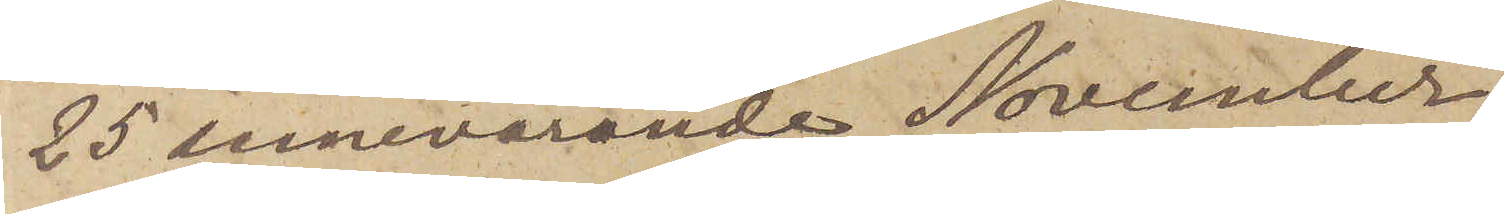25 innevarande November.
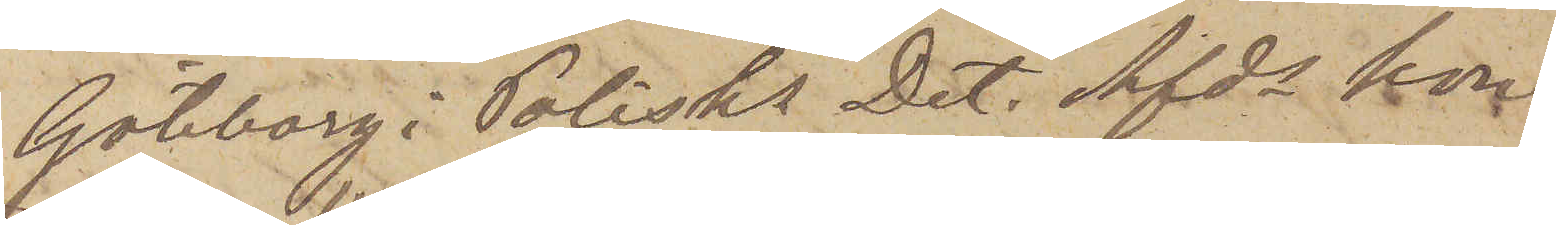Göteborg i Polisks Det. Afds kon¬
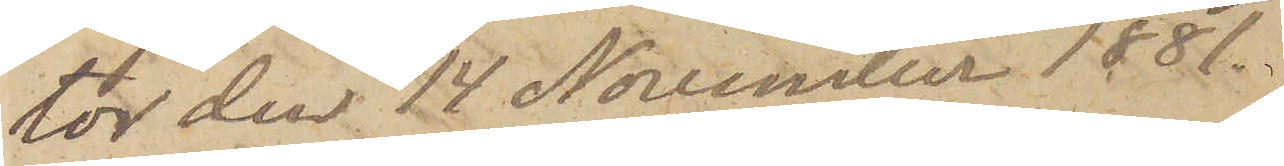tor den 17 November 1881.
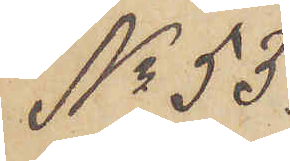No 53
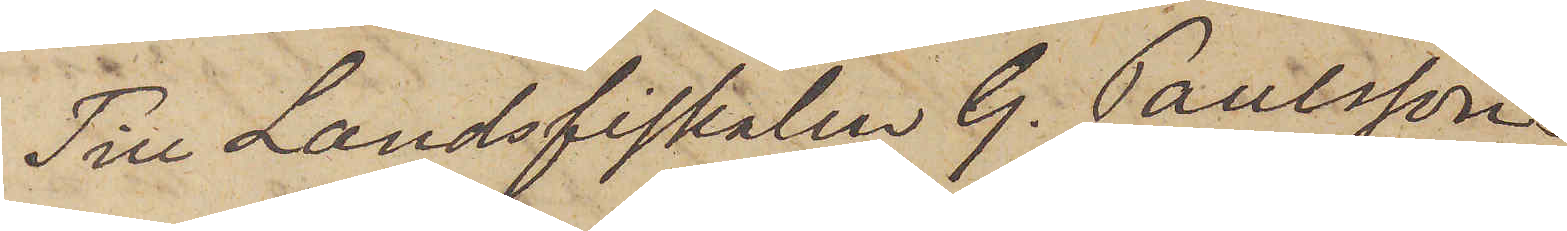Till Landsfiskalen G. Paulsson
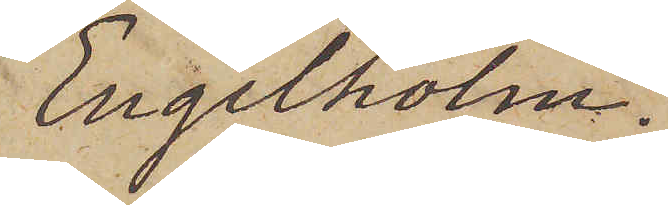Engelholm.
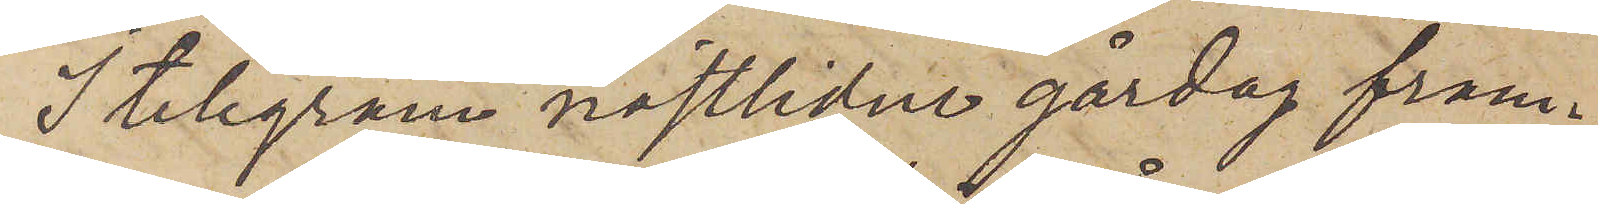I telegram sistlidne gårdag fram¬
